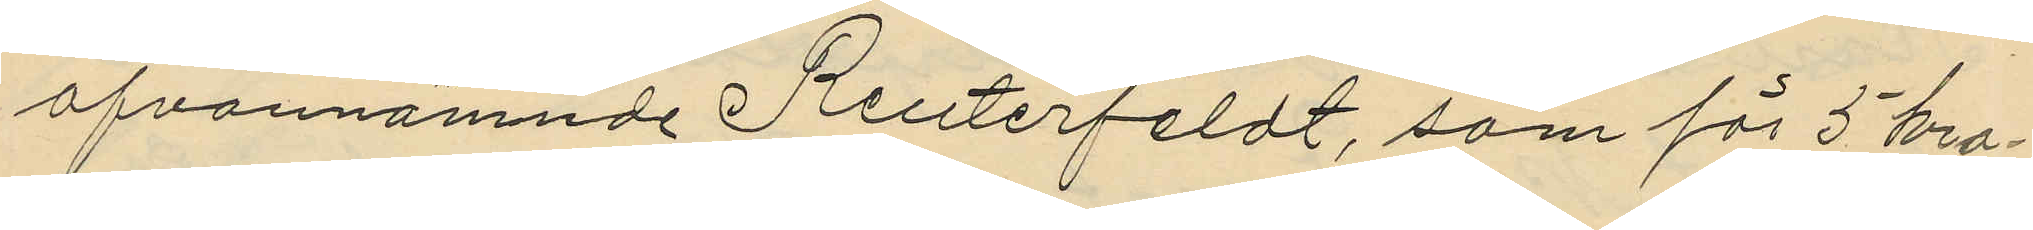ofvannämnde Reuterfeldt, som för 5 kro¬
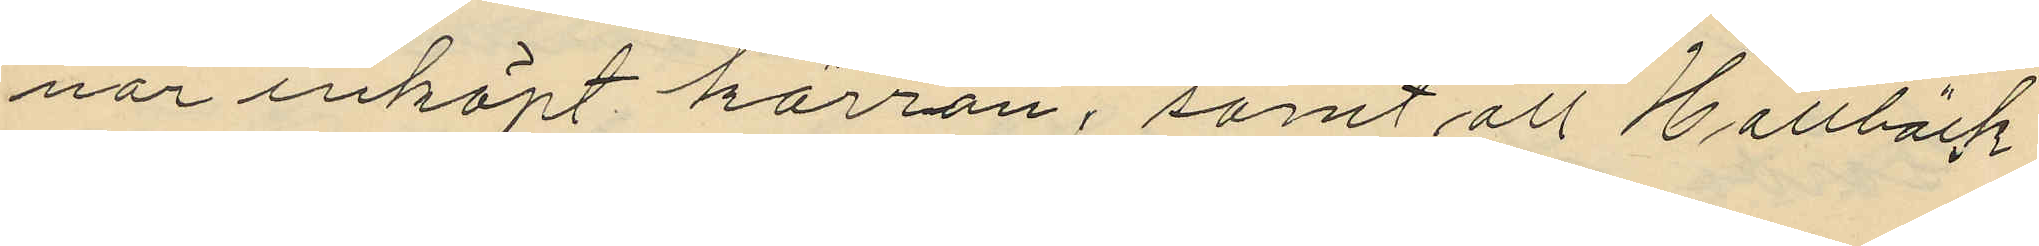nor inköpt kärran, samt att Hallbäck
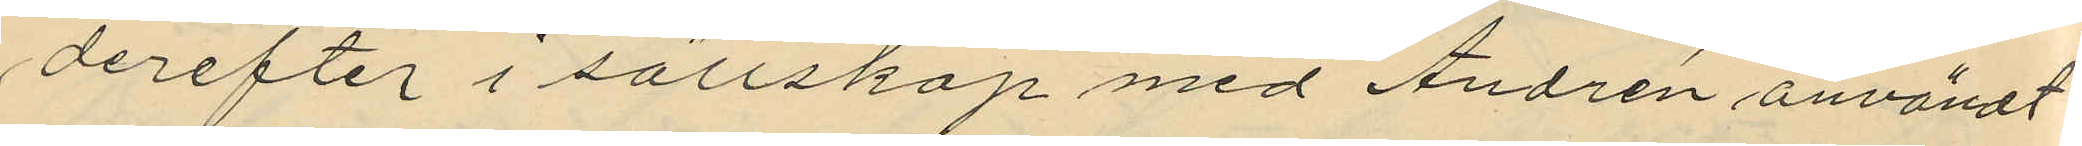derefter i sällskap med Andrén användt
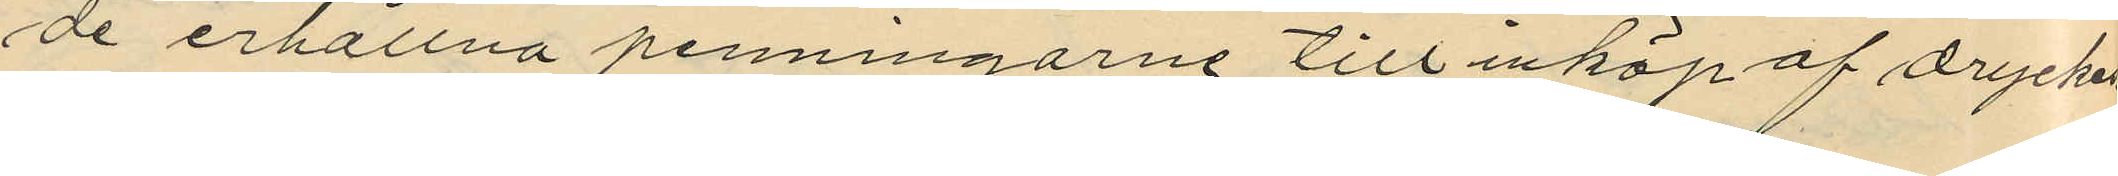de erhållna penningarne till inköp af dryckes¬
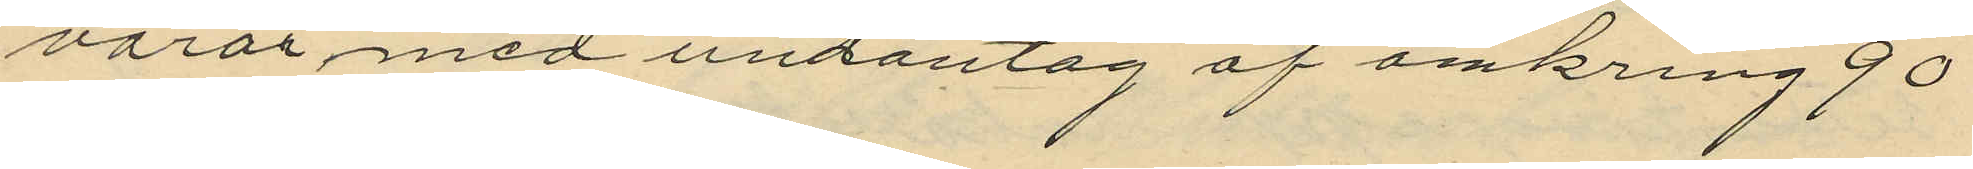varor med undantag af omkring 90
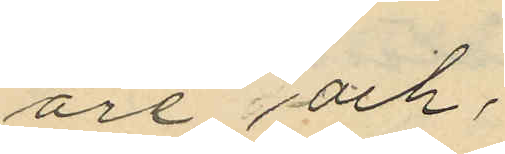öre och;
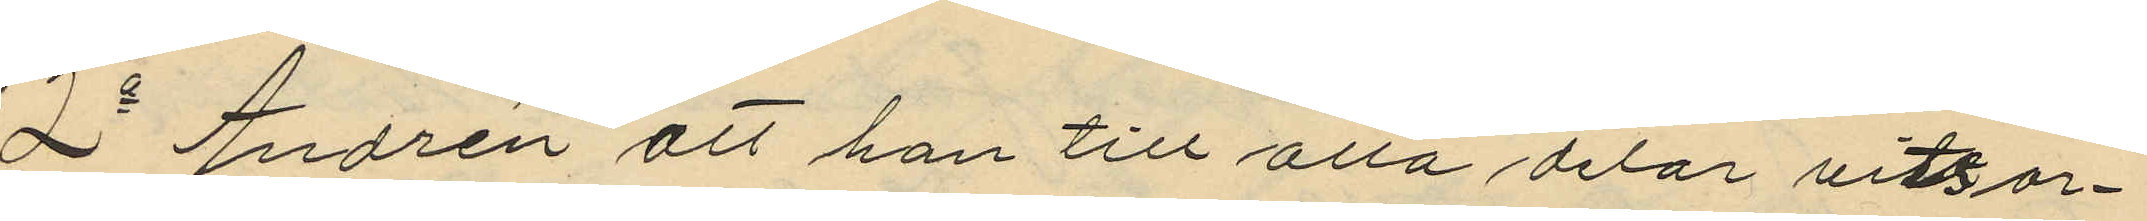2o Andrén att han till alla delar vitsor¬
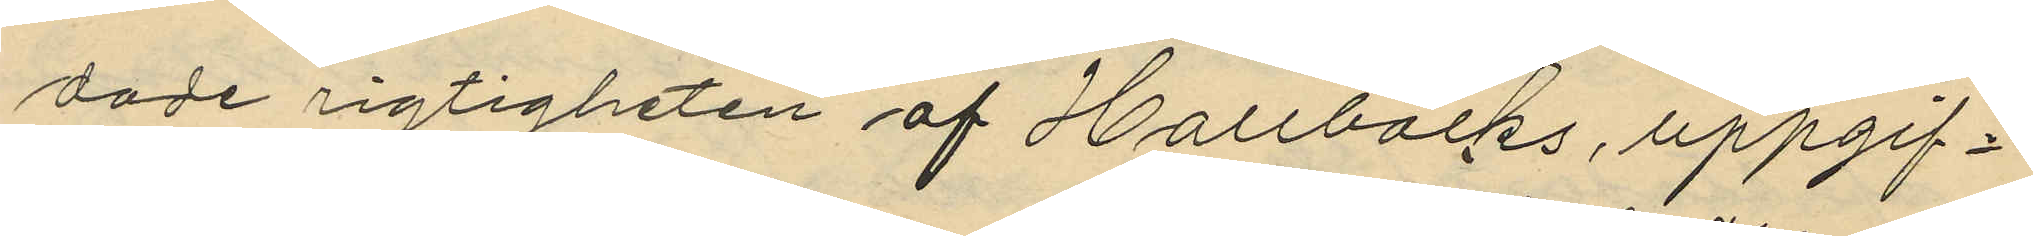dade rigtigheten af Hallbäcks uppgif¬
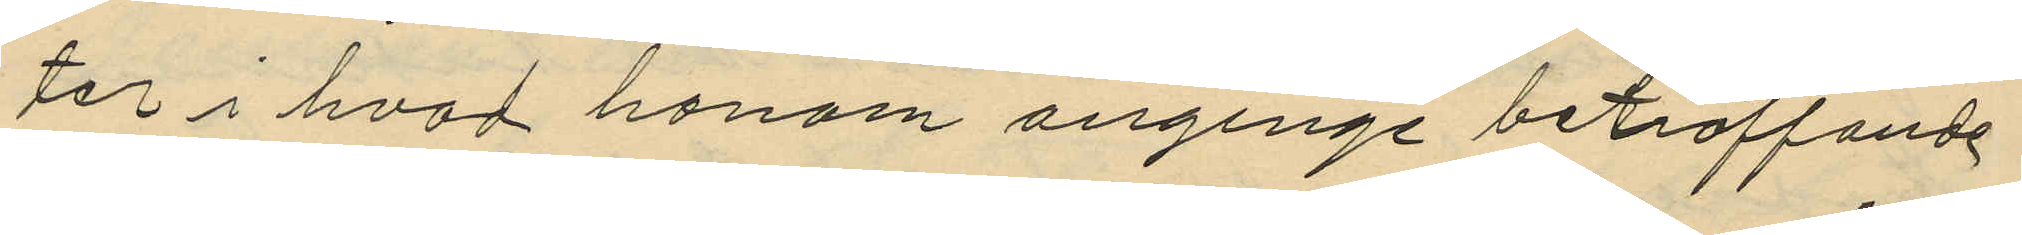ter i hvad honom anginge beträffande
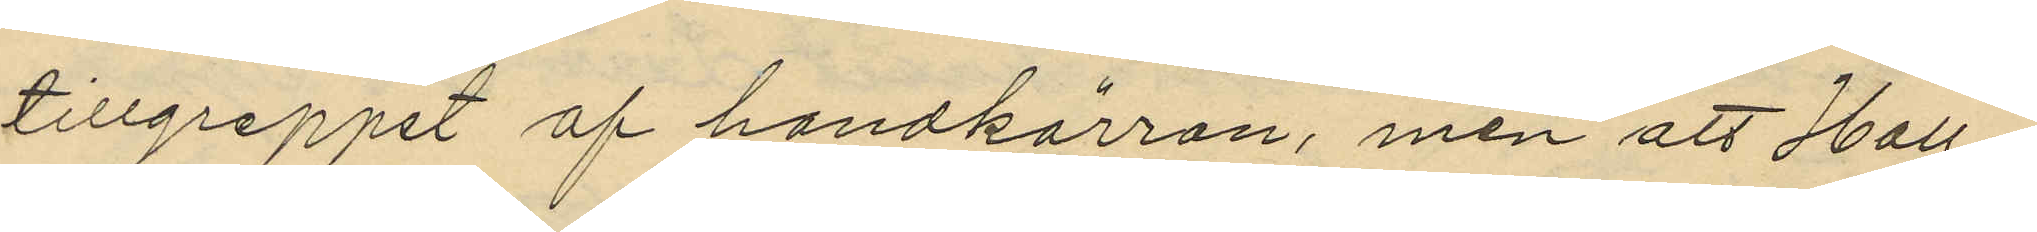tillgreppet af handkärran, men att Hall¬
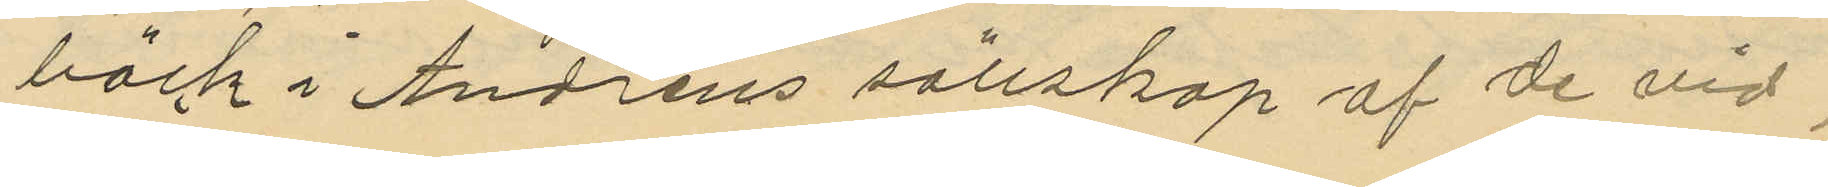bäck i Andréns sällskap af de vid
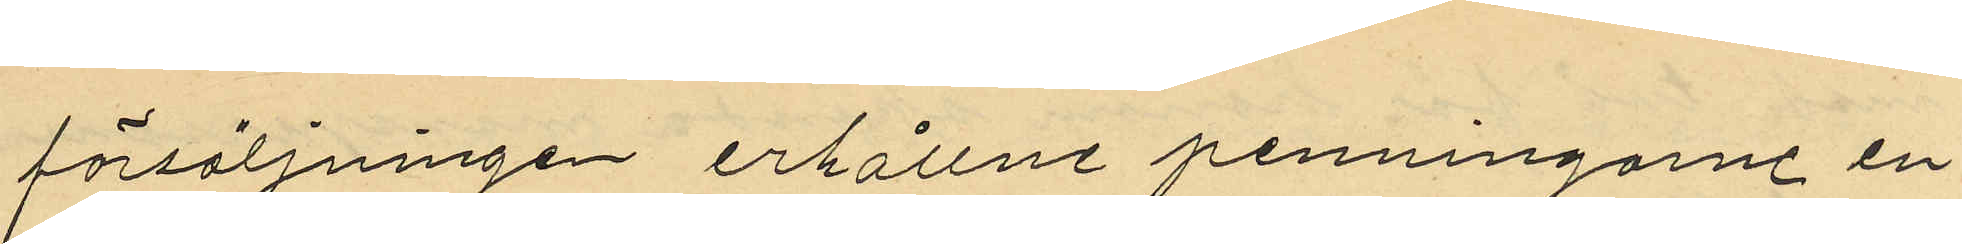försäljningen erhållne penningarne en¬
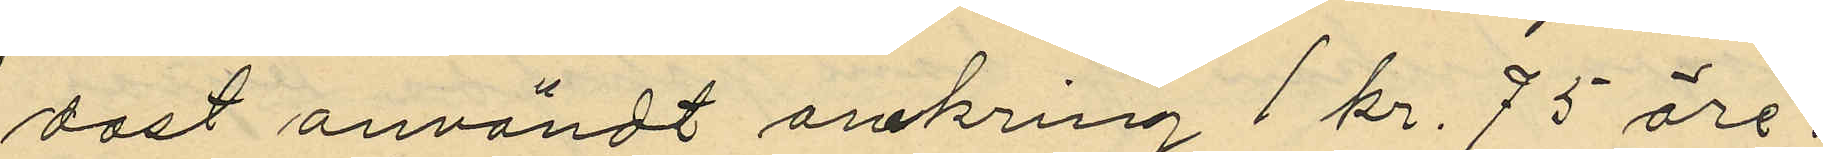dast användt omkring 1 kr. 75 öre.
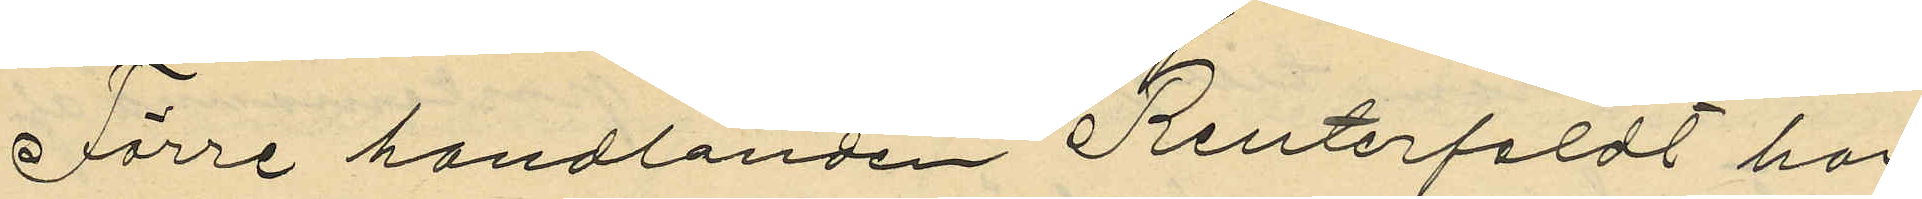Förre handlanden Reuterfeldt har
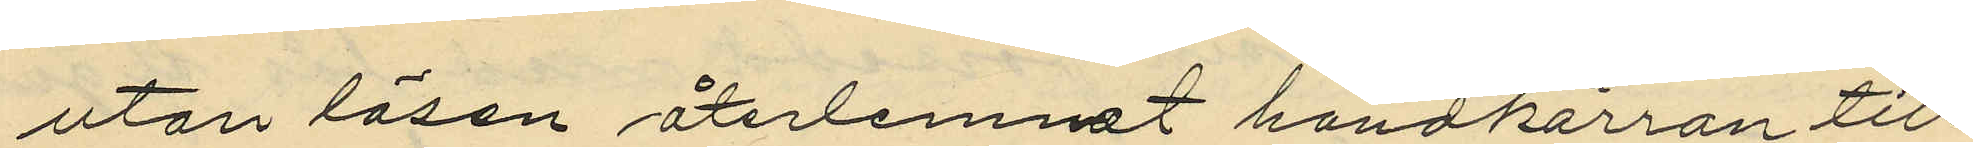utan lösen återlemnat handkärran till
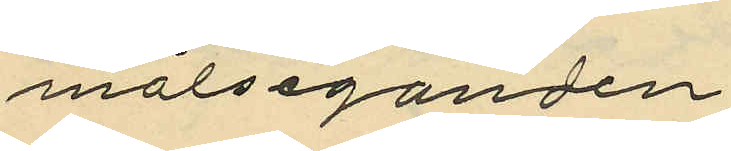målseganden.
